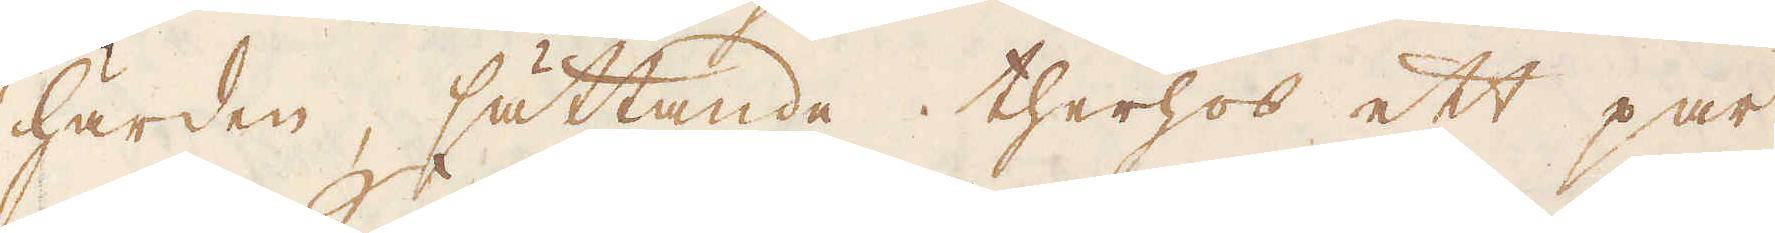härden, sättande therhos ett par
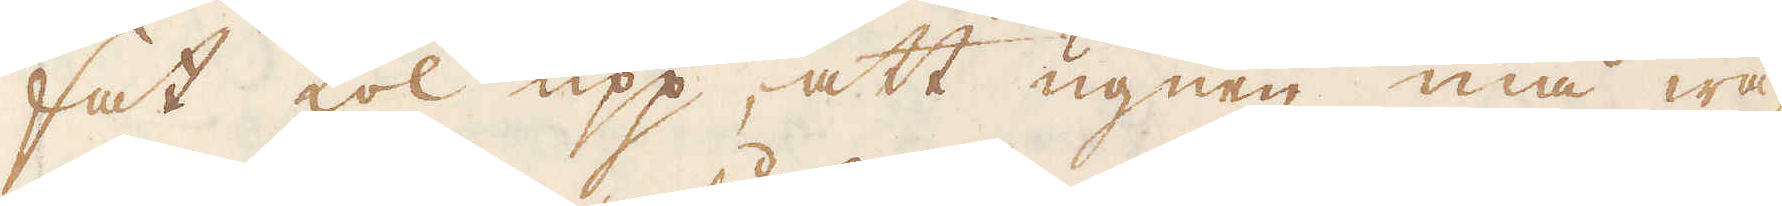fat kol upp, att ugnen må wa-
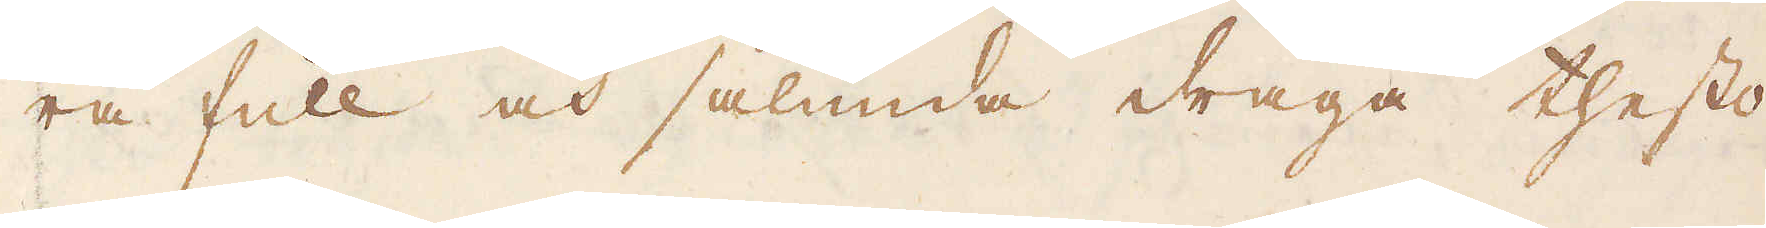ra full och sålunda draga thesto
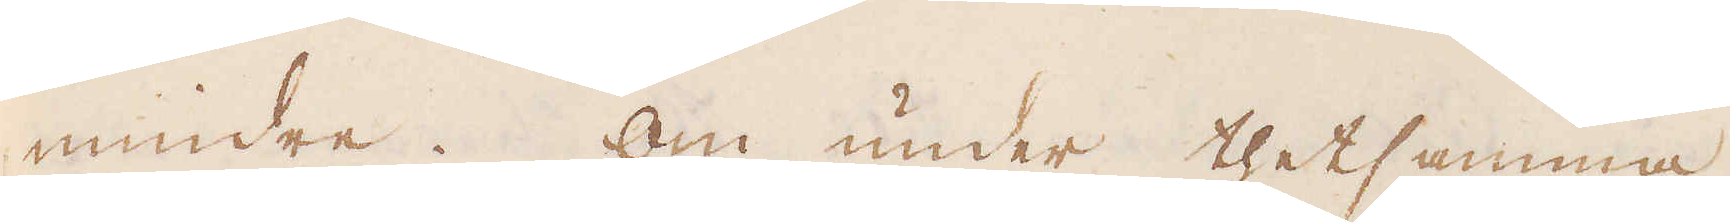mindre. Om under thetsamma,
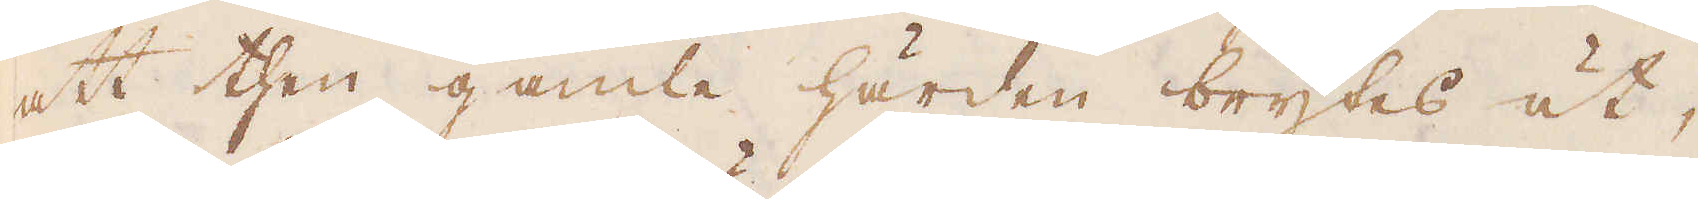att then gamla härden brytes ut,
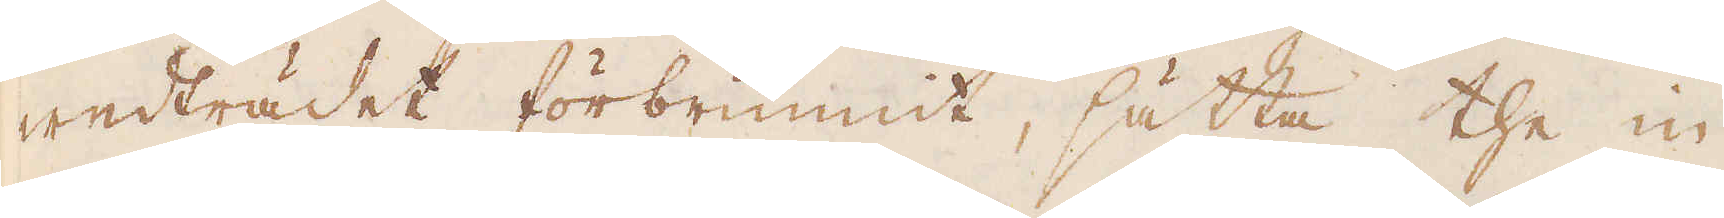wedträdet förbrunnit, sätta the in
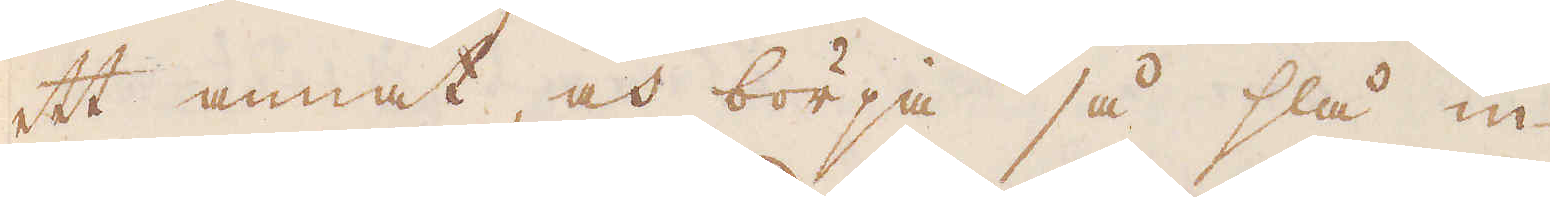ett annat, och börja så slå in
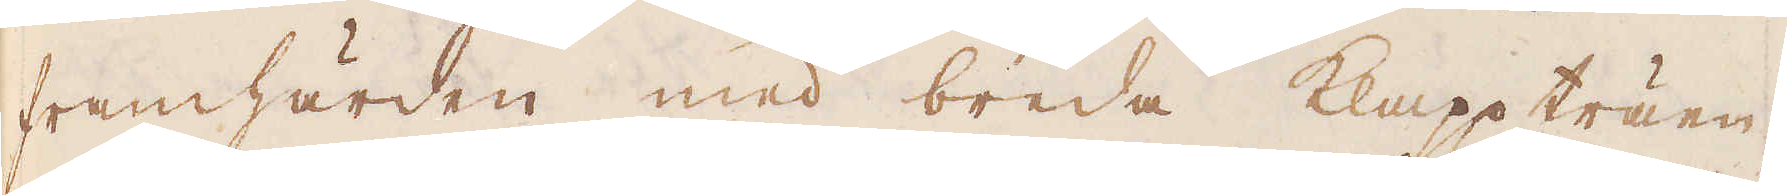framhärden med breda klapp träen,
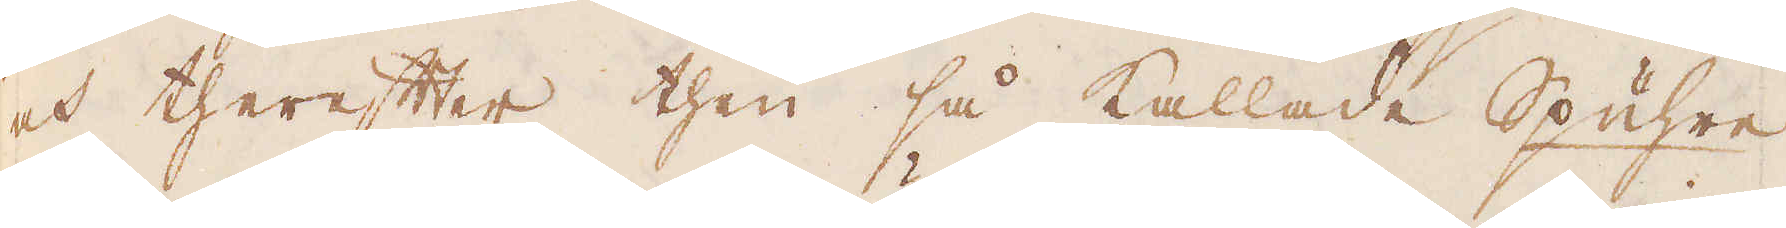och therefter then så kallade Spuhre,
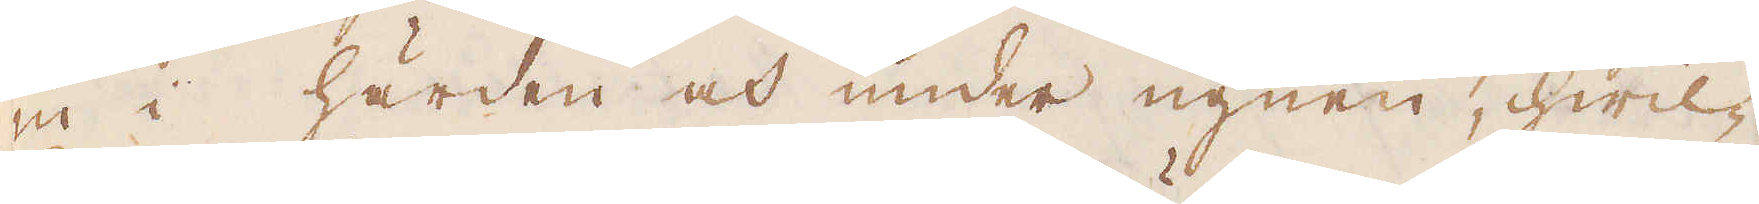in i härden och under ugnen, hwil-
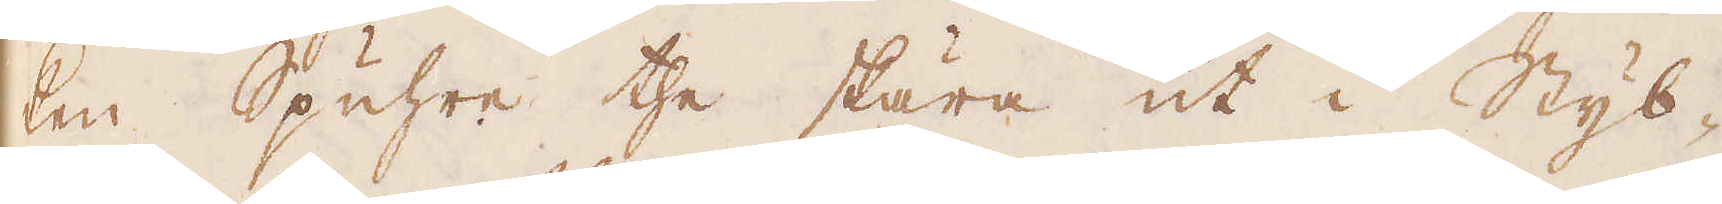ken Spuhre the skära ut i Styb-
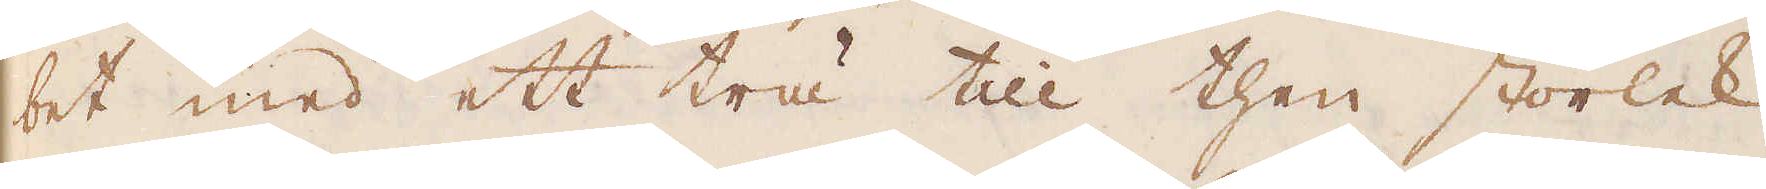bet med ett trä till then storlek.
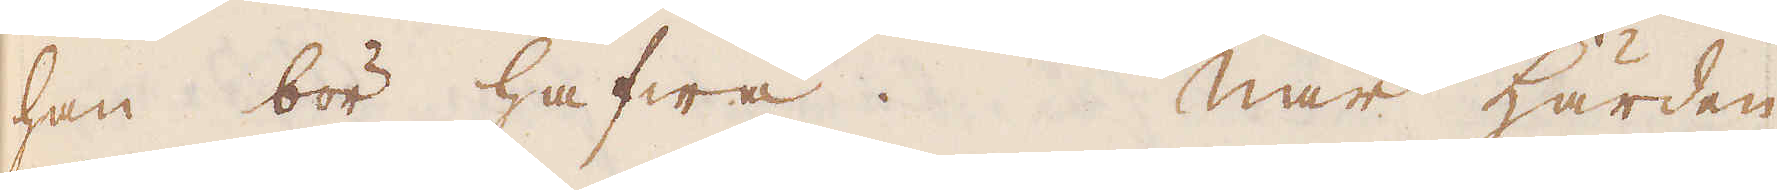han bör hafwa. När härden
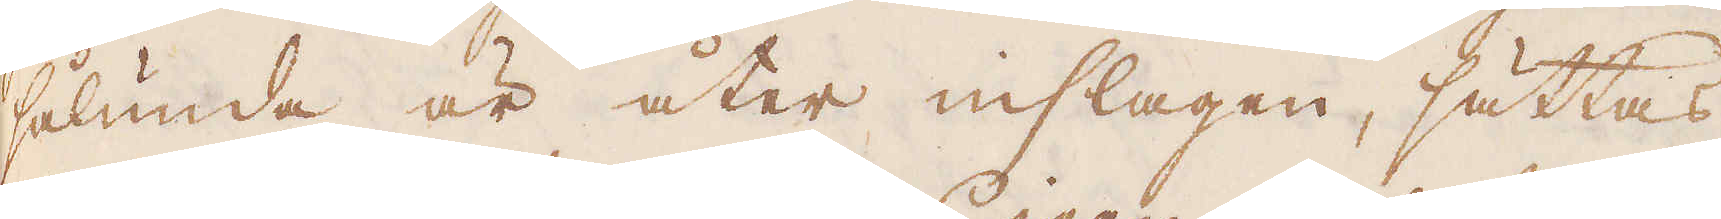sålunda är åter inslagen, sättas
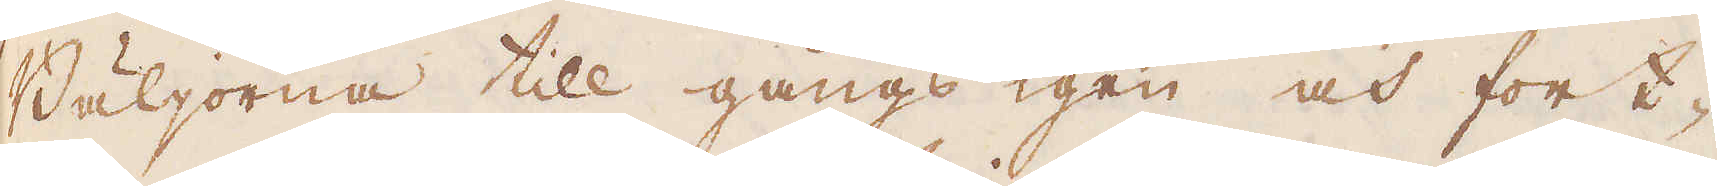Bäljorna till gångs igen och fort-
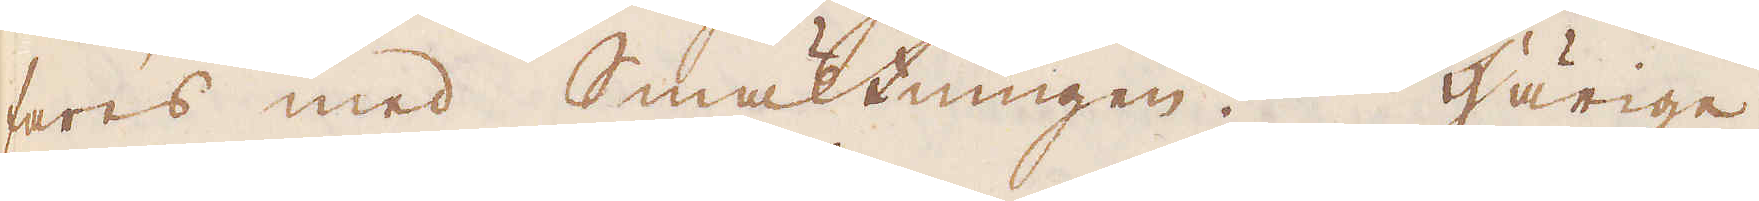fares med Smältningen. Härige-
